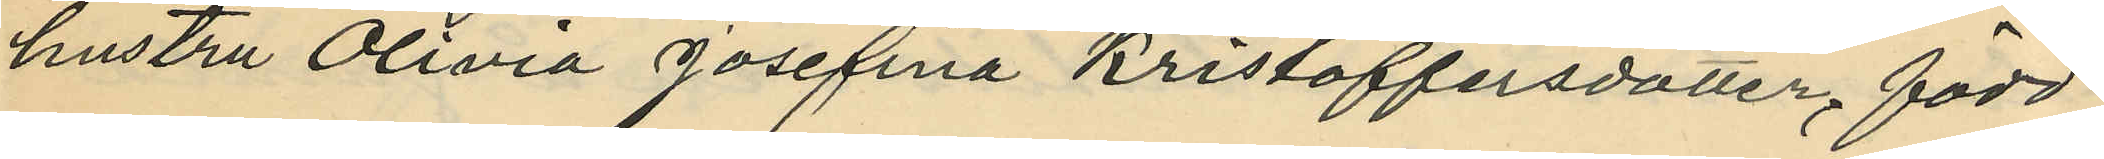hustru Olivia Josefina Kristoffersdotter, född
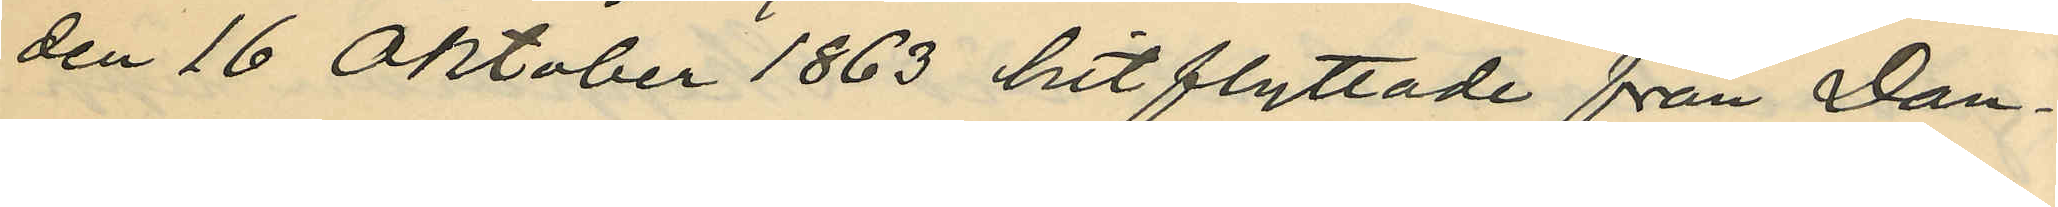den 16 Oktober 1863 hitflyttade från Dan¬
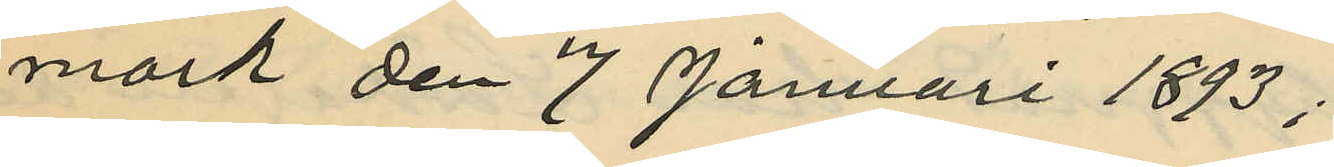mark den 7 Januari 1893;
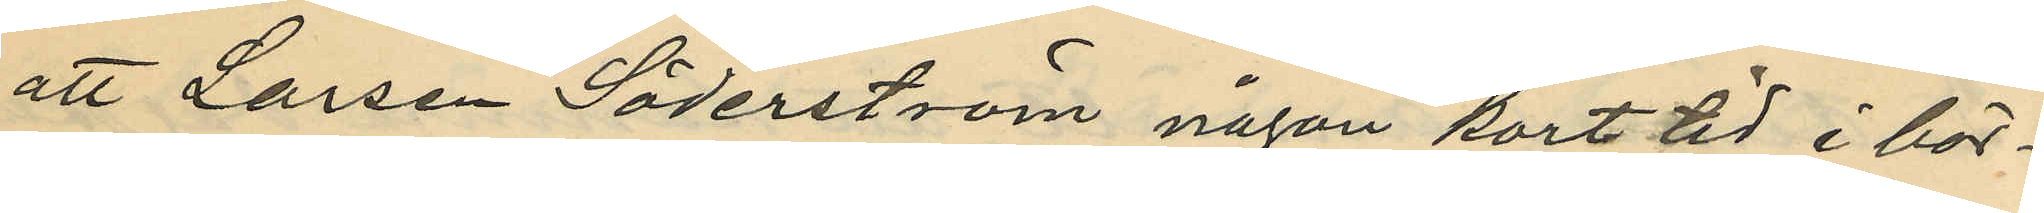att Larsen Söderström någon kort tid i bör¬
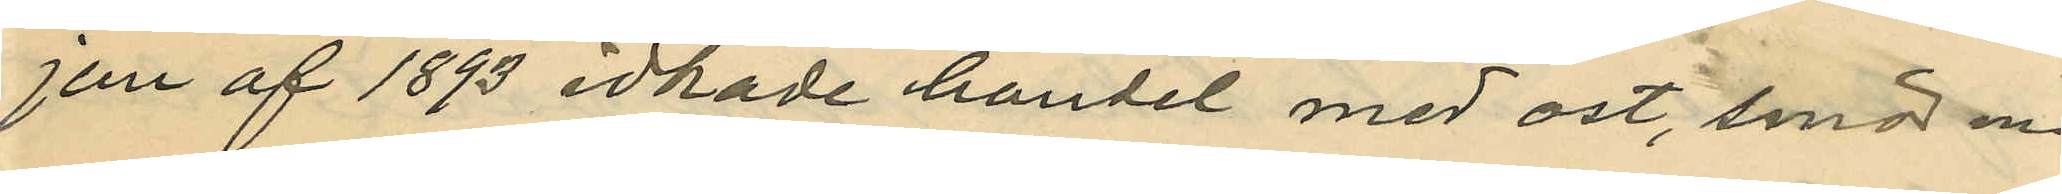jen af 1893 idkade handel med ost, smör m.
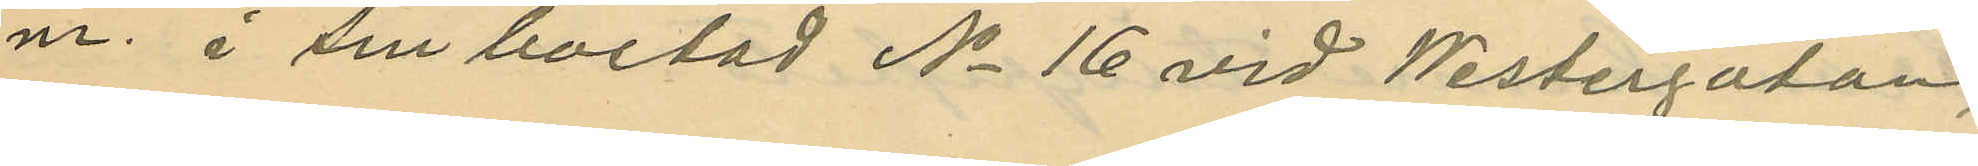m. i sin bostad No 16 vid Westergatan,
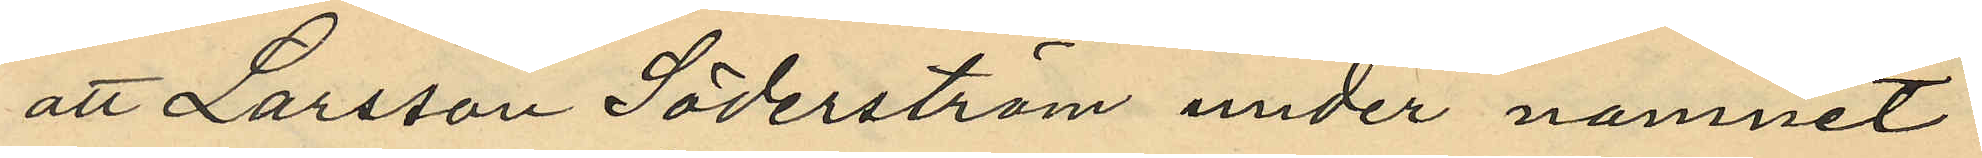att Larsson Söderström under namnet
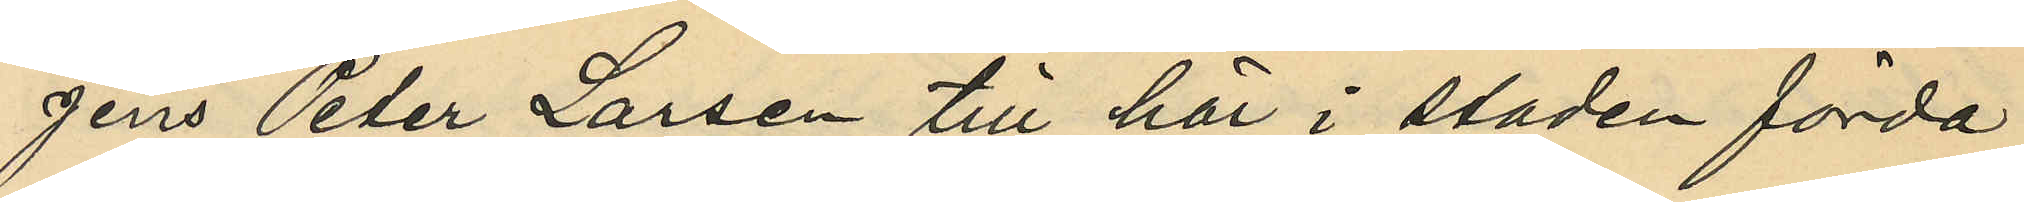Jens Peter Larsen till här i staden förda
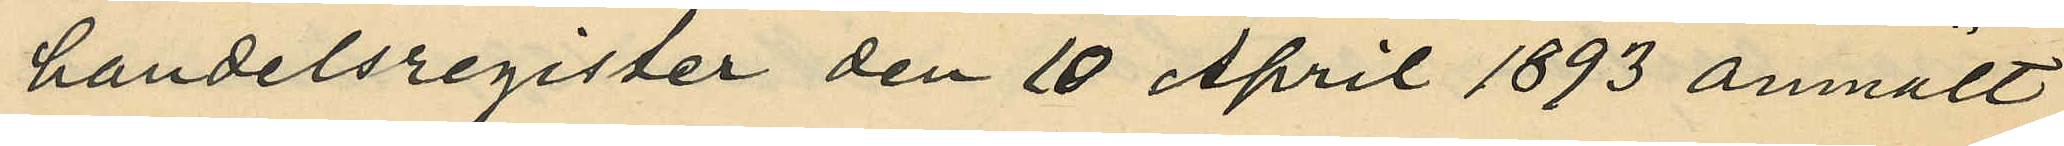handelsregister den 10 April 1893 anmält
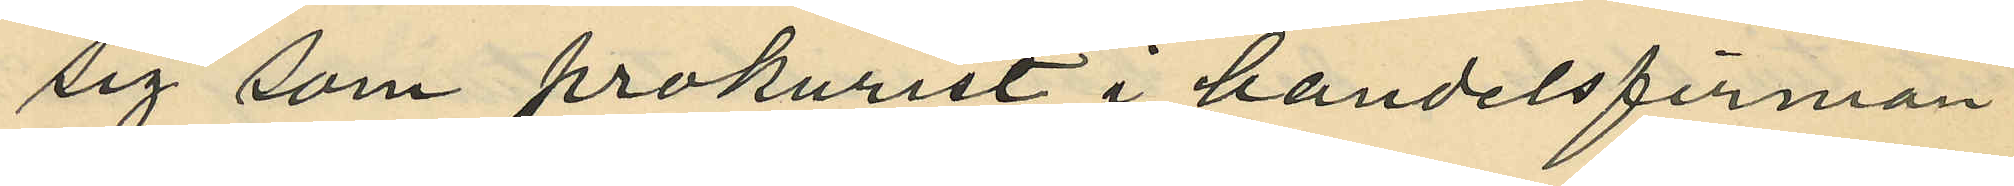sig som prokurist i handelsfirman
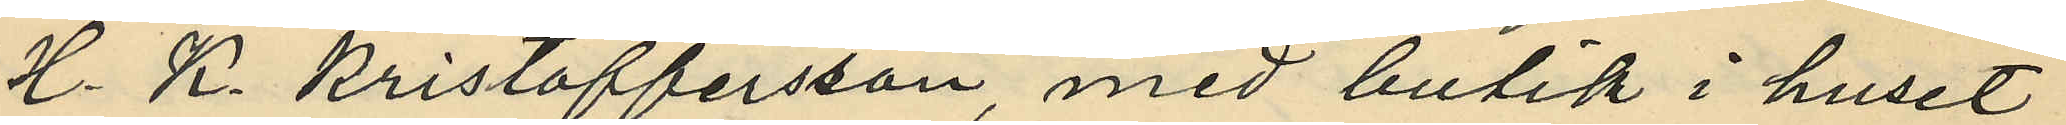H. K. Kristoffersson, med butik i huset
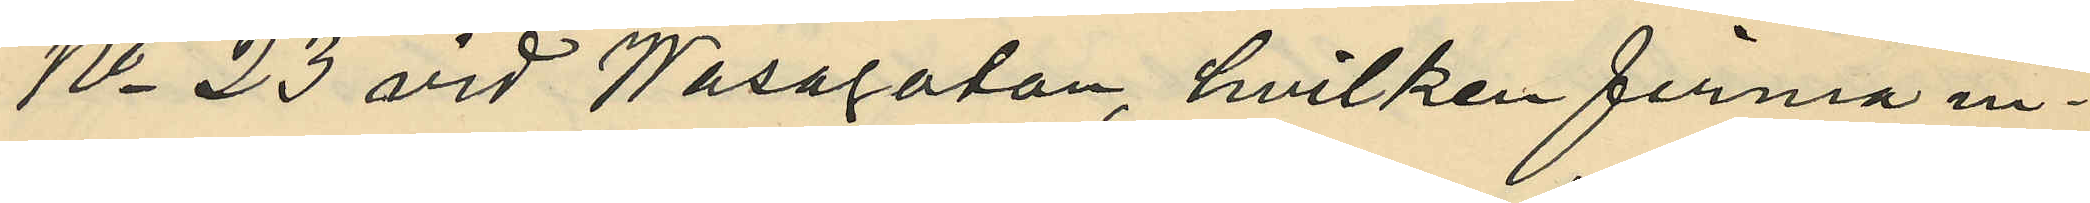No 23 vid Wasagatan, hvilken firma in¬
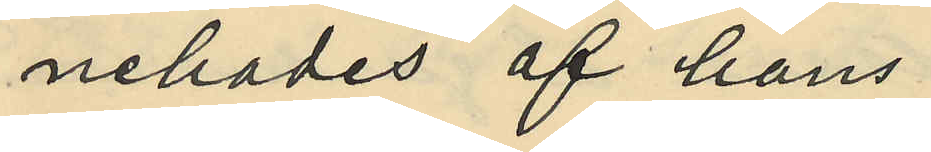nehades af hans
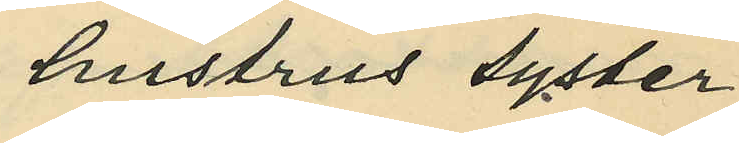hustrus syster
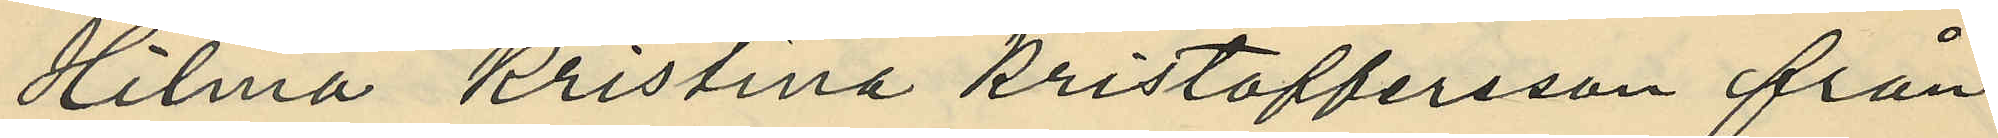Hilma Kristina Kristoffersson från
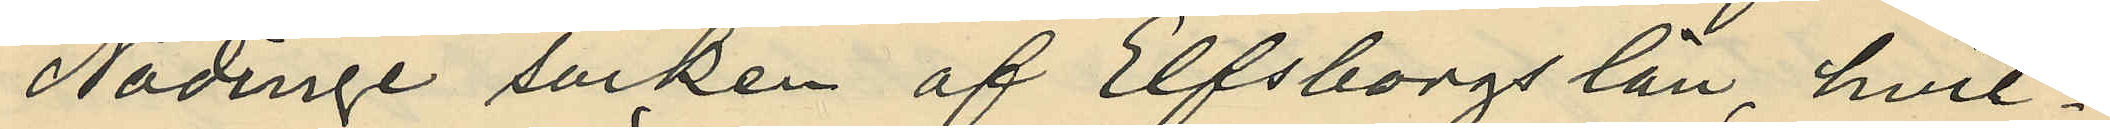Nödinge socken af Elfsborgs län, hvil¬
